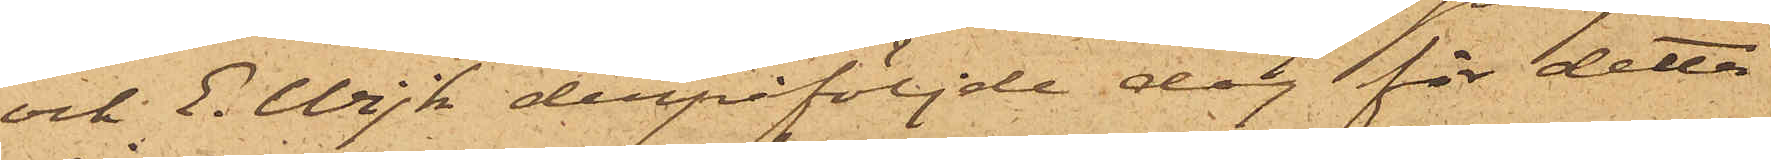och E. Wijk derpåföljde dag för detta
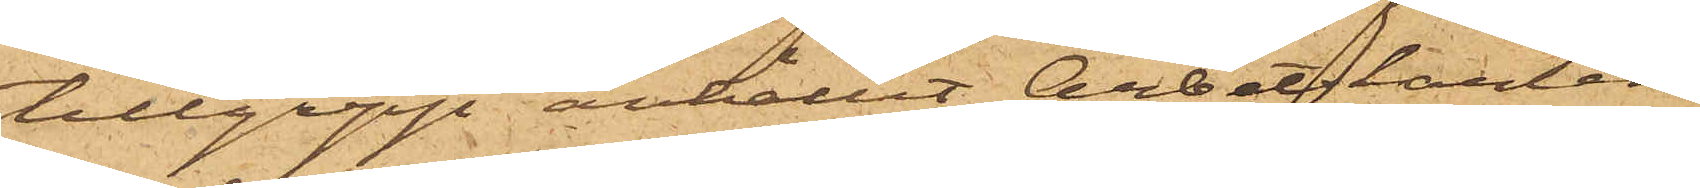tillgrepp anhållit Arbetskarlen
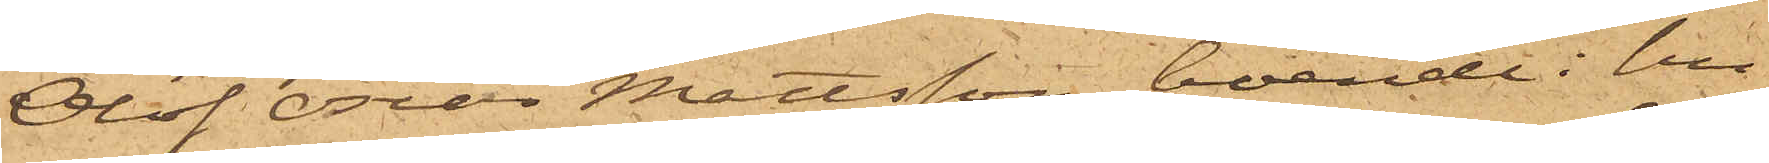Olof Oscar Mattsson, boende i hu¬
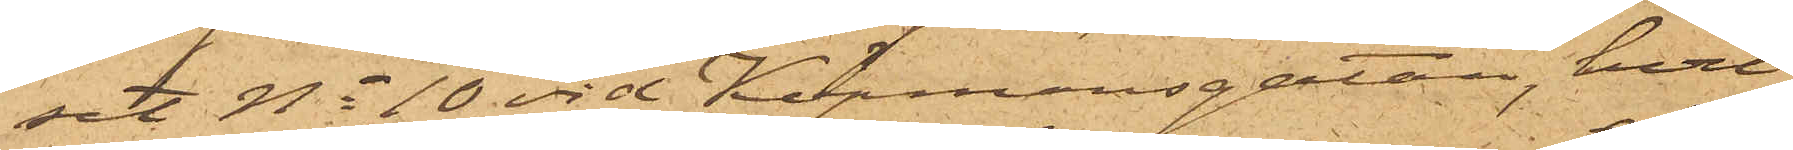set No 10 vid Köpmansgatan, hvil¬
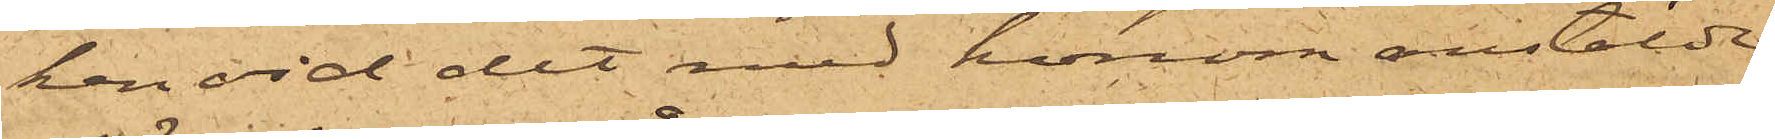ken vid det med honom anstälde
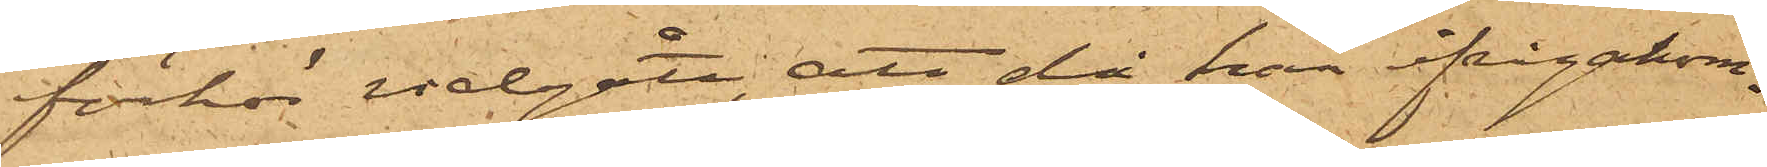förhör vidgått, att då han ifrågakom¬
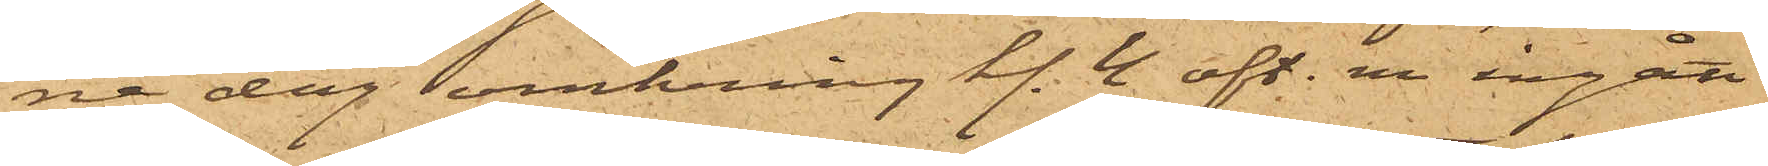ne dag omkring kl. 4 eft. m. ingått
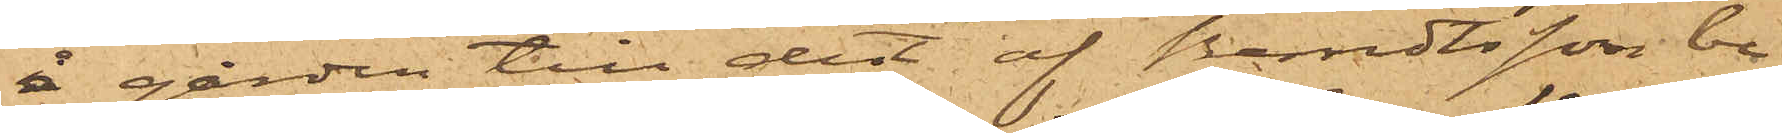å gården till det af Berndtsson be¬
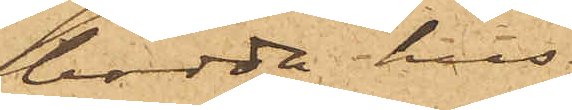bodde hus
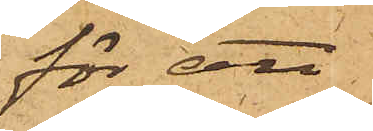för att
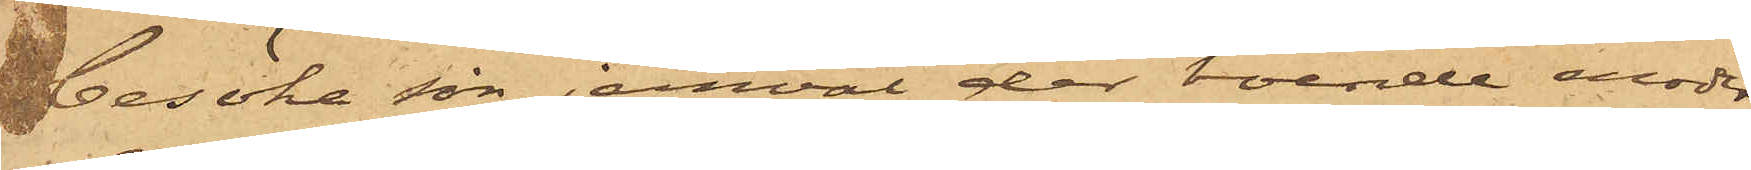besöka sin jemväl der boende moder,
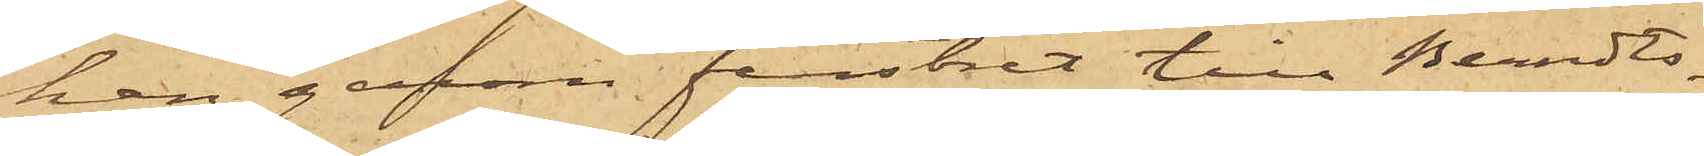han genom fenstret till Berndts¬
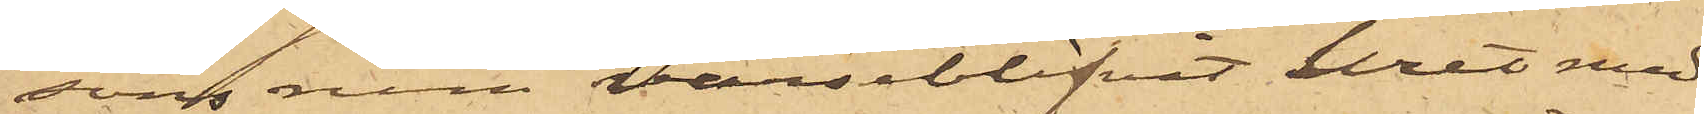sons rum varseblifvit uret med
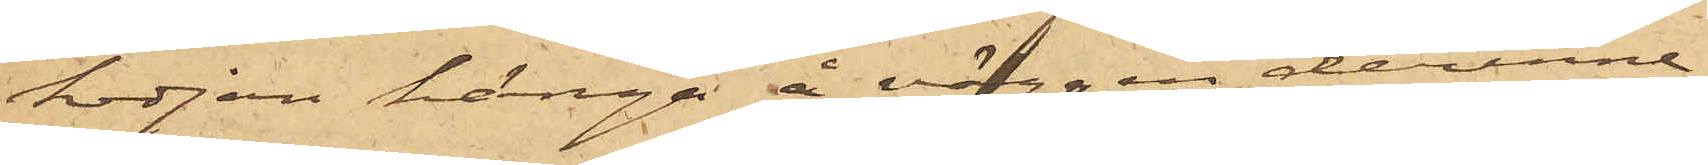kedjan hänga å väggen derinne;
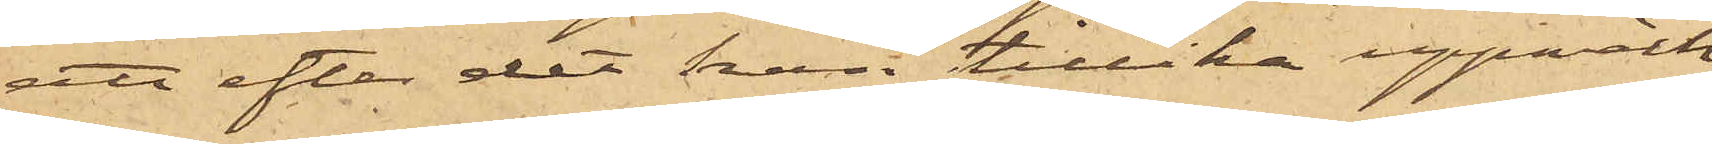att efter det han tillika uppmärk¬
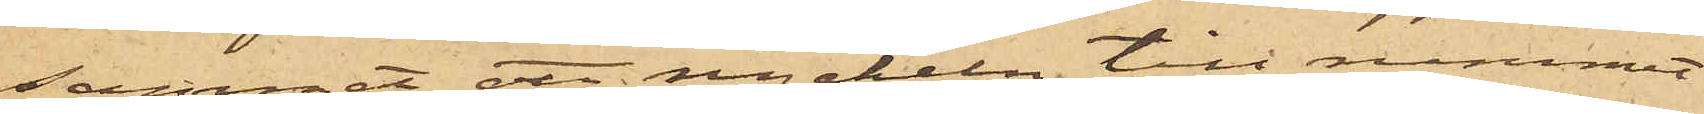sammat att nyckeln till rummet
